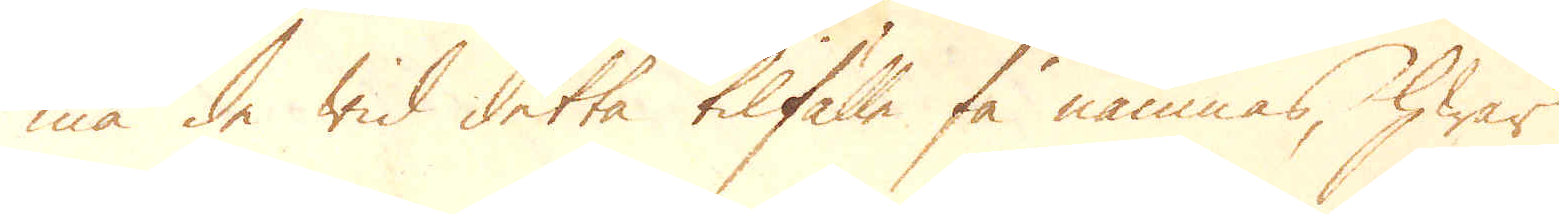må de wid detta tilfälle få nämnas, hwar
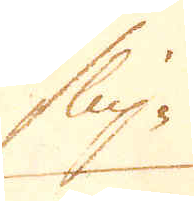slip-
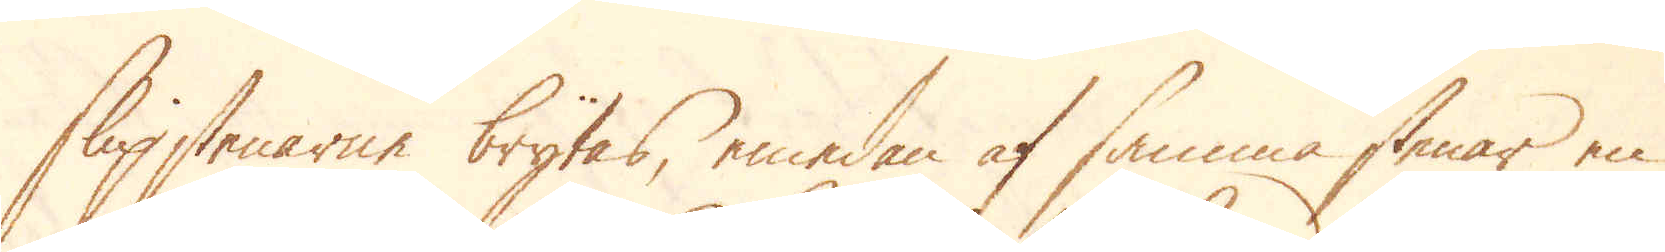slipstenarne brytas, emedan af samma stenar en
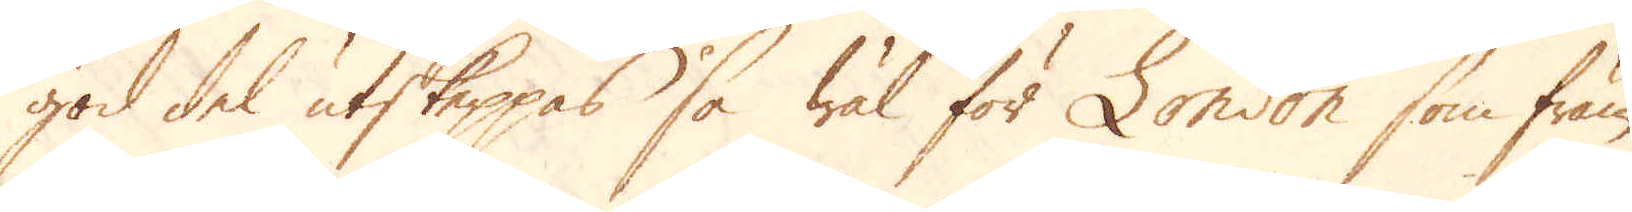god del utskeppas så wäl för London som främ-
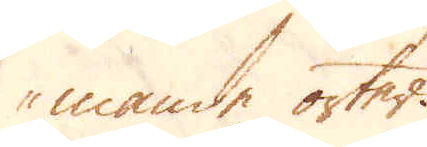mande orter.
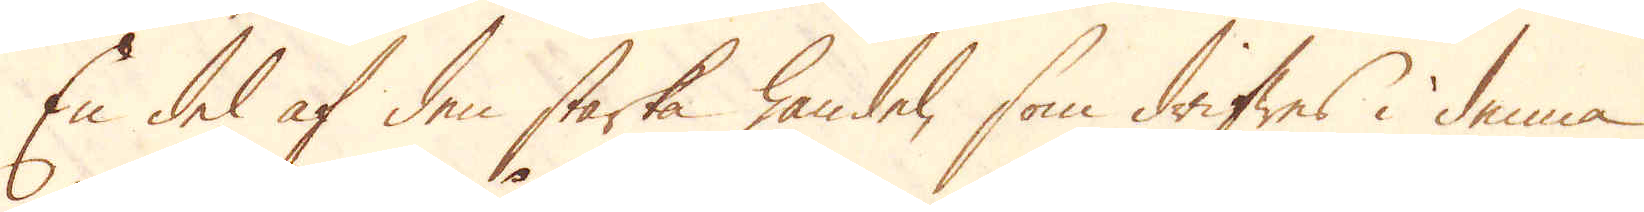En del af den starka handel, som drifwes i denna
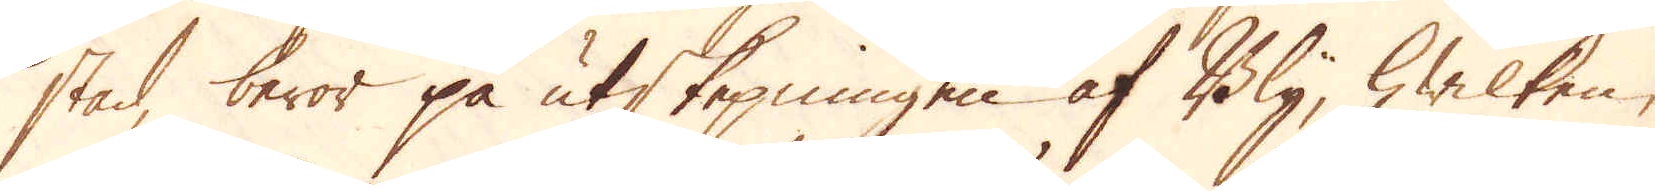stad, beror på utskepningen af Bly, hwilken,
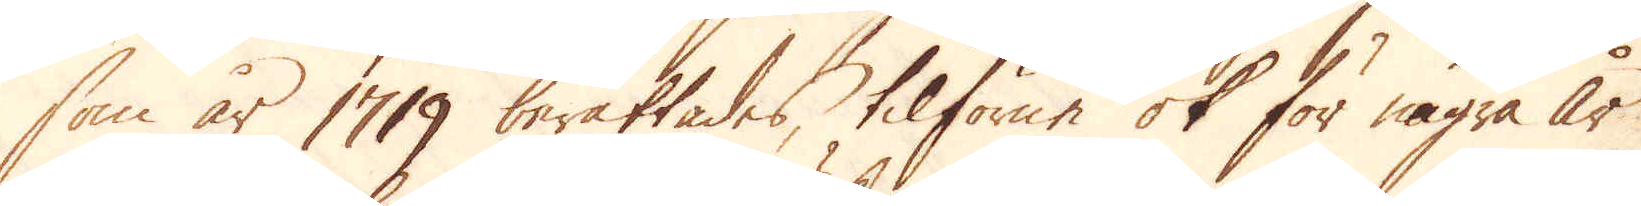som år 1719 berättades, tilförene ok för några år
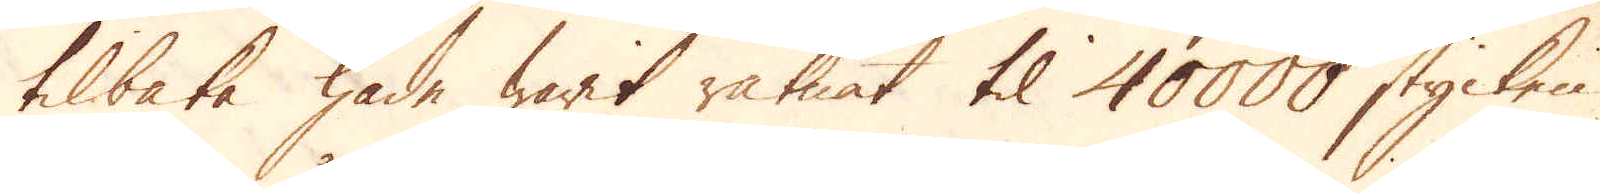tilbaka hade warit räknat til 40000 stycken
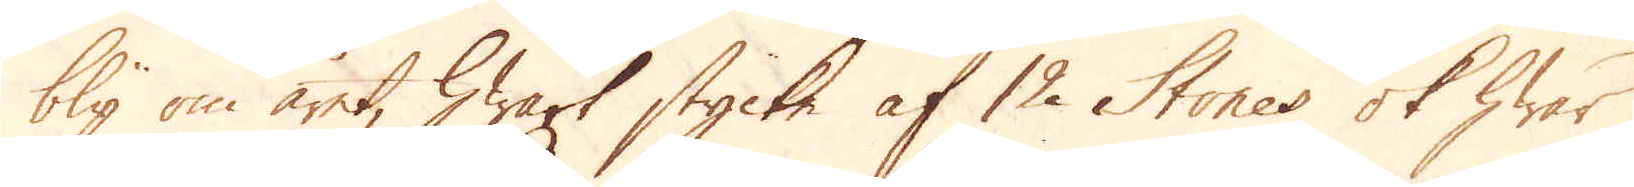bly om året, hwart stycke af 12 Stones ok hwar
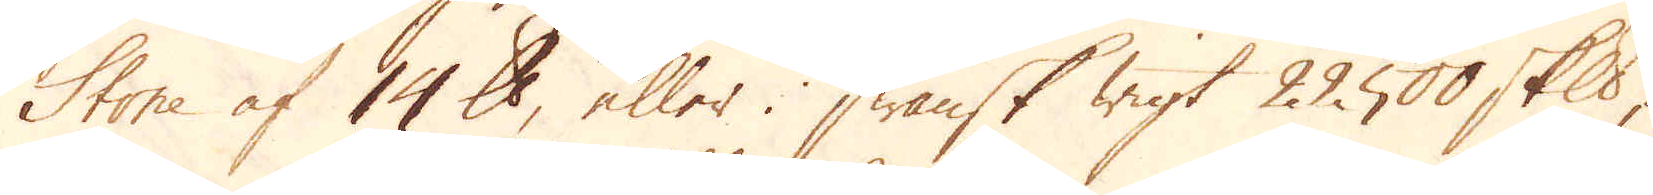Stone af 14 pund, eller i Swänsk wigt 22500 skeppund,
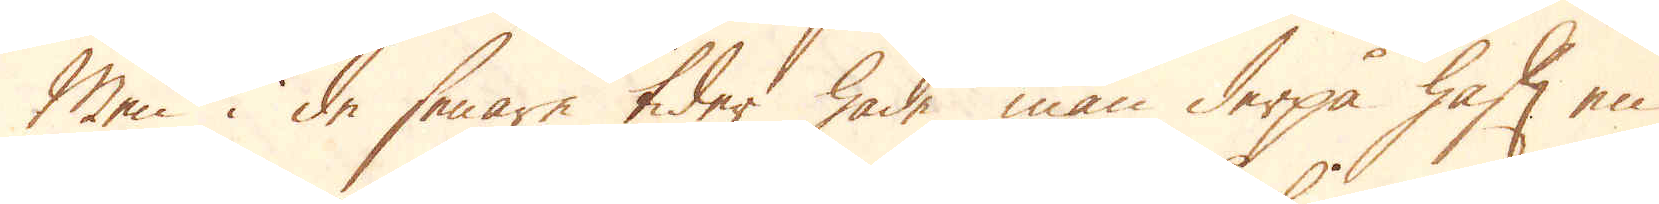men i de senare tider hade man derpå haft en
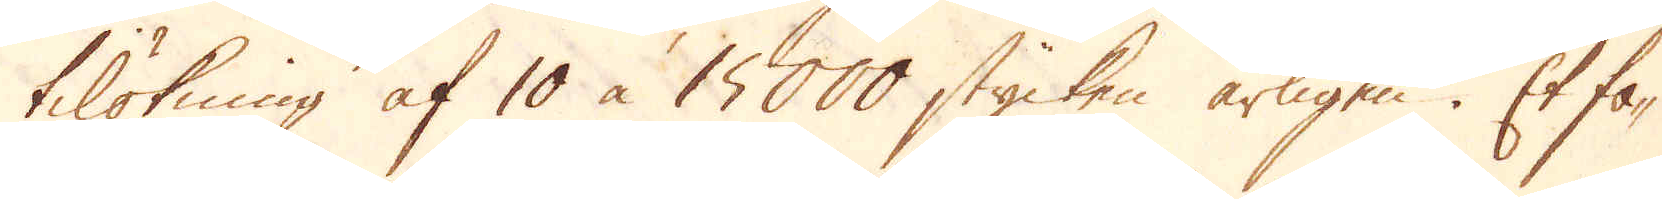tilökning af 10 à 15000 stycken årligen. Et fo-
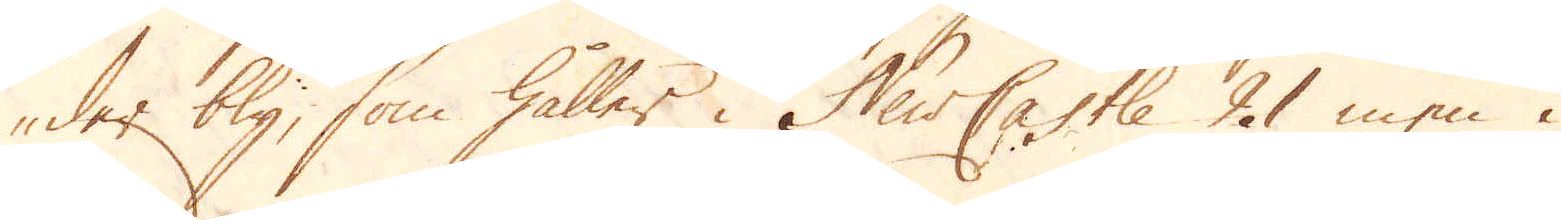der bly, som hålles i NewCastle 21 men i
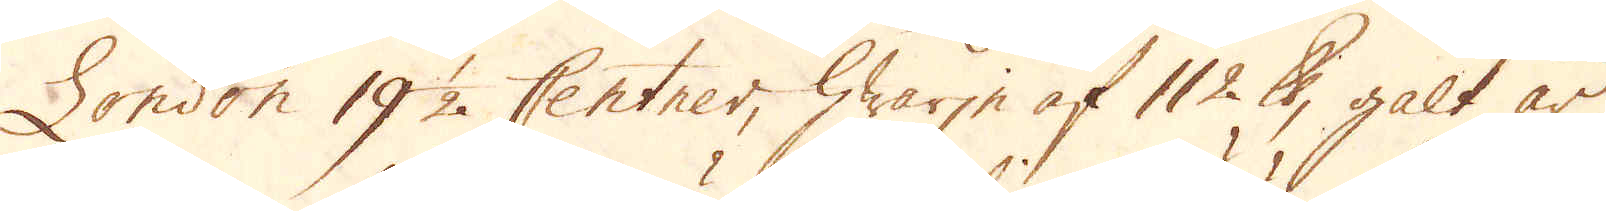London 19 1/2. Centner, hwarje af 112 pund, galt år
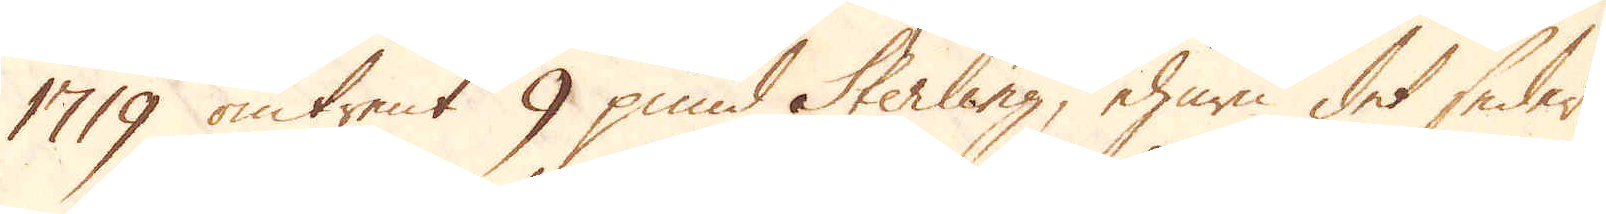1719 omtrent 9 pund Sterling, ehuru det seder-
